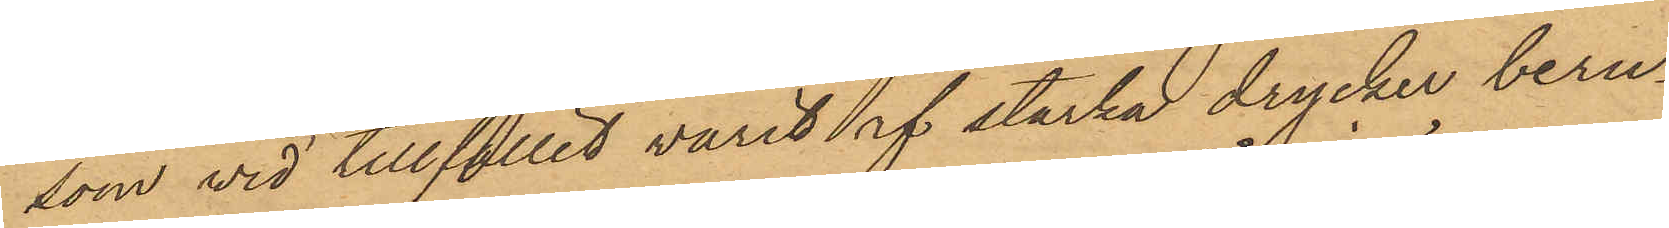som vid tillfället varit af starka drycker beru¬
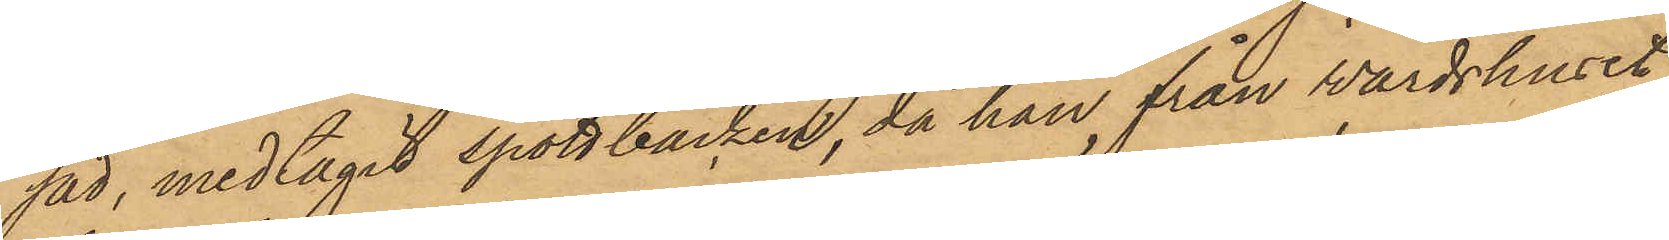sad, medtagit spottbacken, då han från wärdshuset
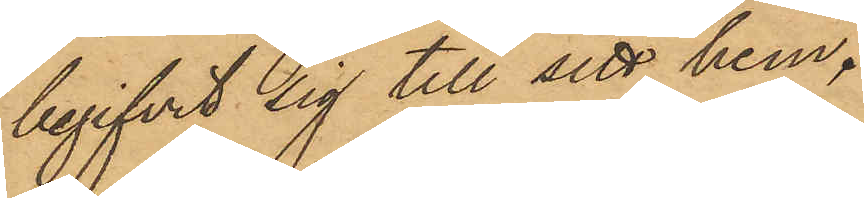begifvit sig till sitt hem.
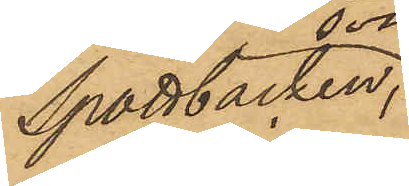Spottbacken, som återfunnits 
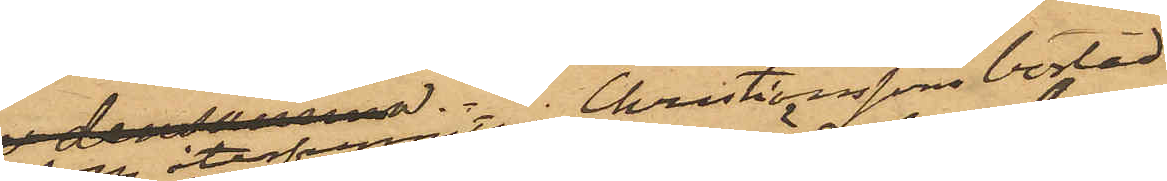  i Christianssons bostad,
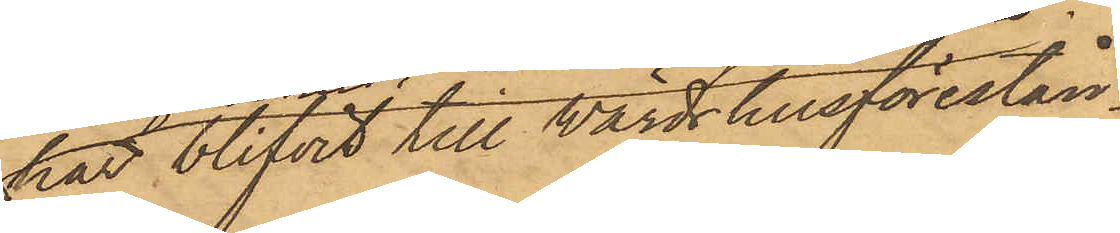har blifvit till wärdshusförestån¬
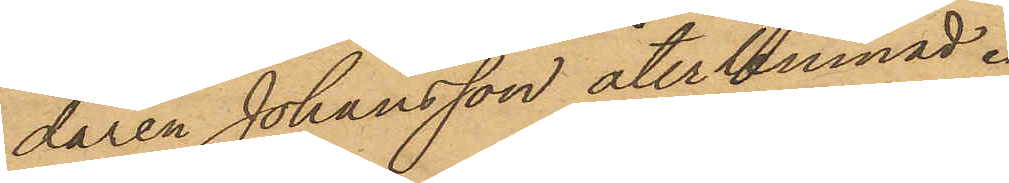daren Johansson återlemnad.
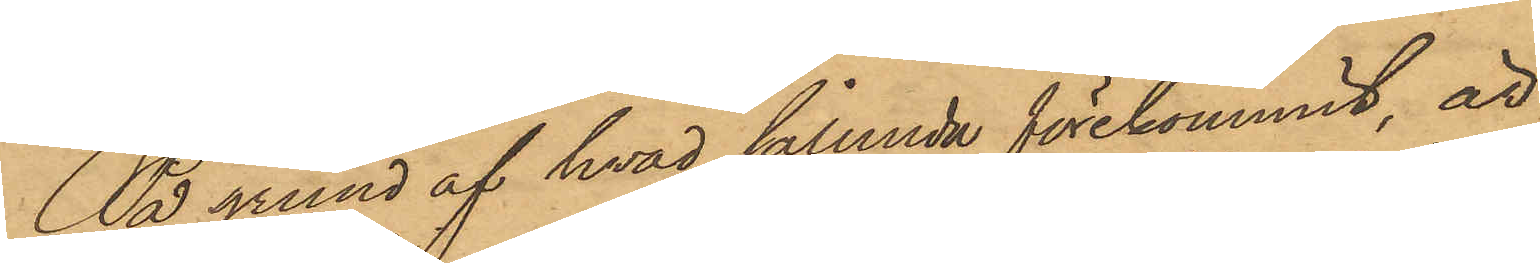På grund af hvad sålunda förekommit, är
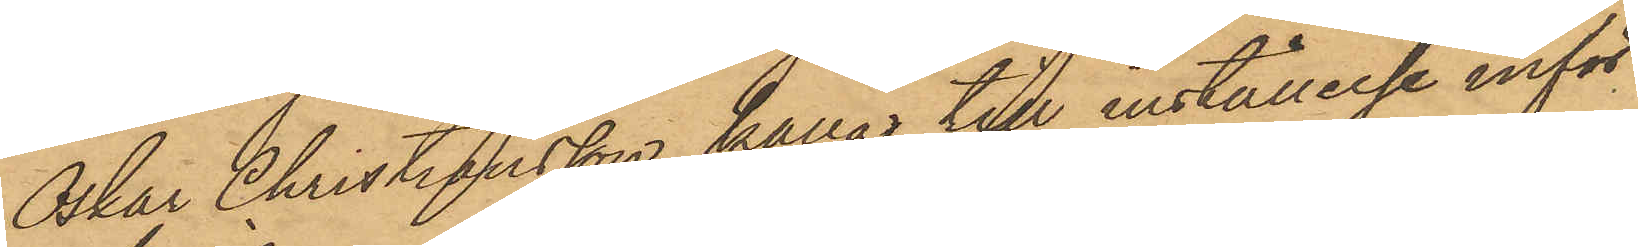Oskar Christiansson kallas till inställelse inför
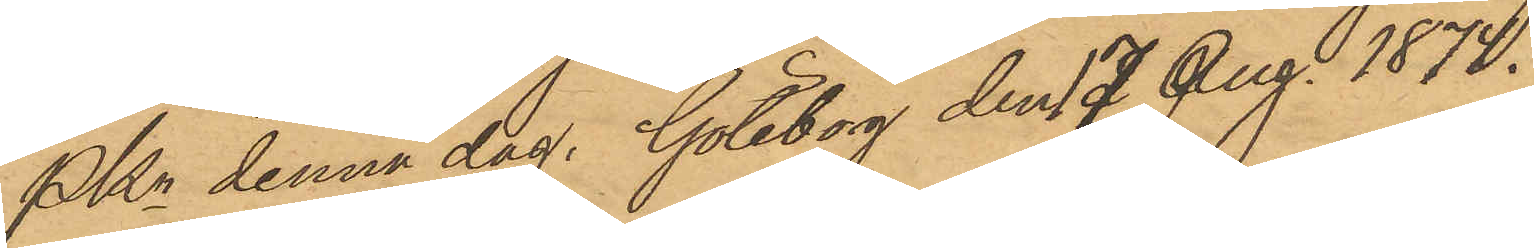Pkn denna dag. Göteborg den 17 Aug.1874.
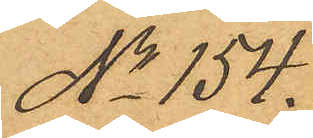No 154.
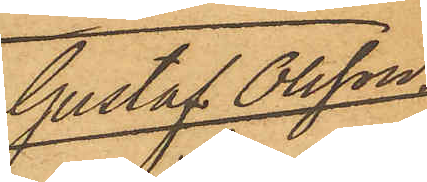Gustaf Olsson
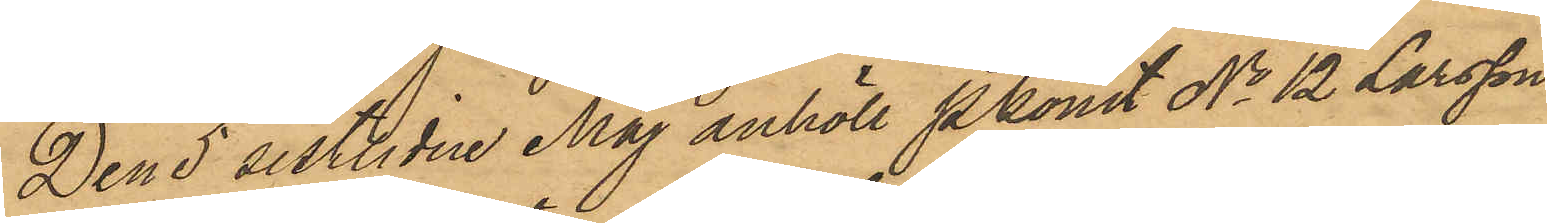Den 5 sistlidne Maj anhöll PKonst No 12 Larsson
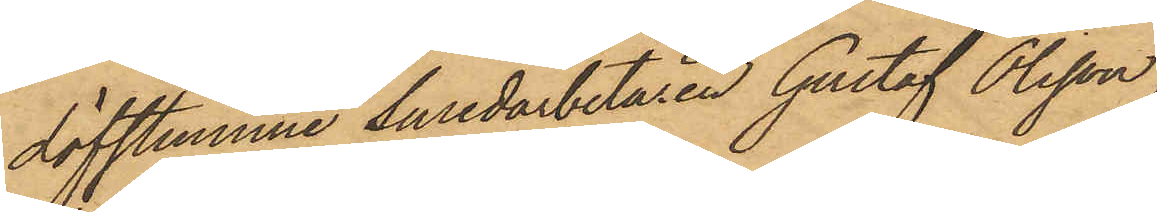döfstumme Smedarbetaren Gustaf Olsson,
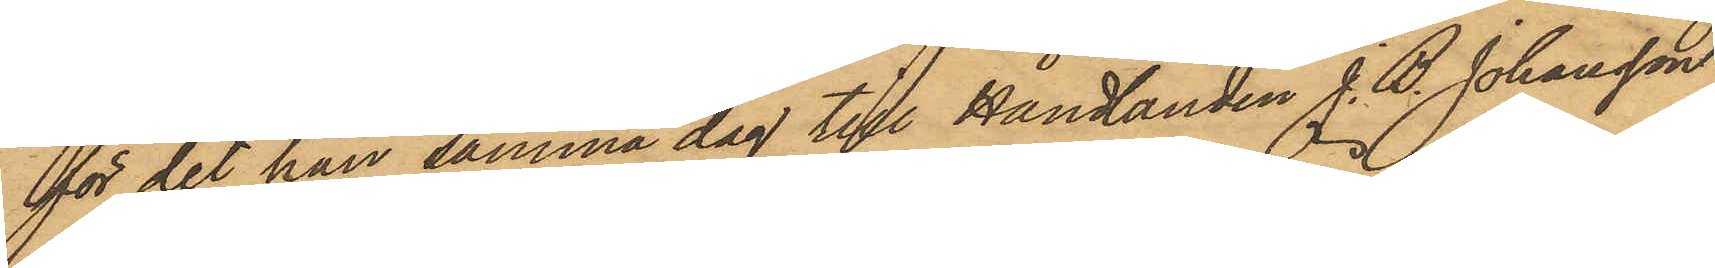för det han samma dag till Handlanden J. B. Johansson
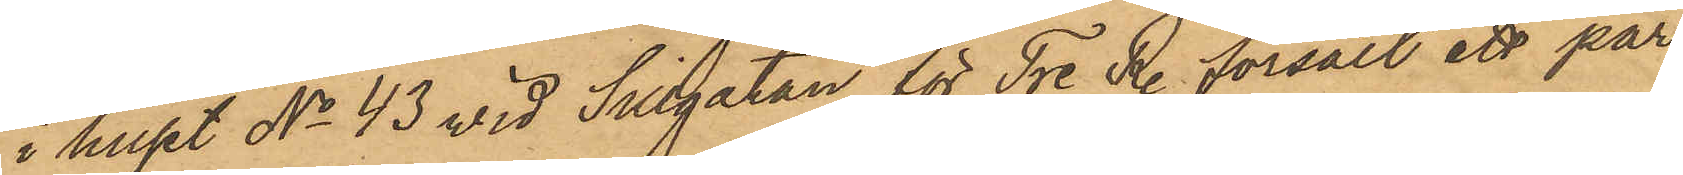i huset No 43 vid Sillgatan för Tre Rdr försålt ett par
